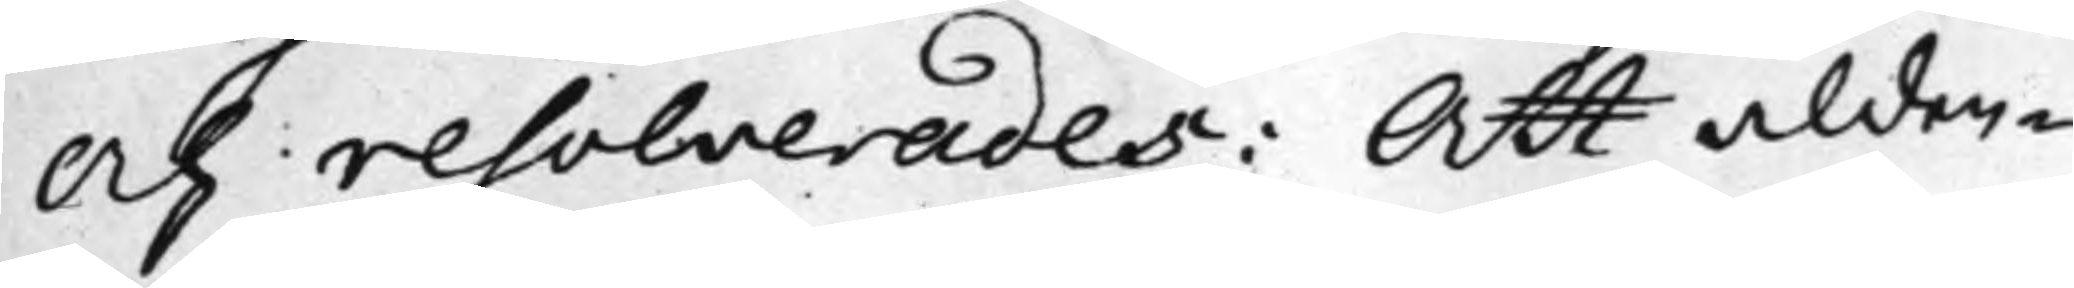och resolverades: Att alden¬
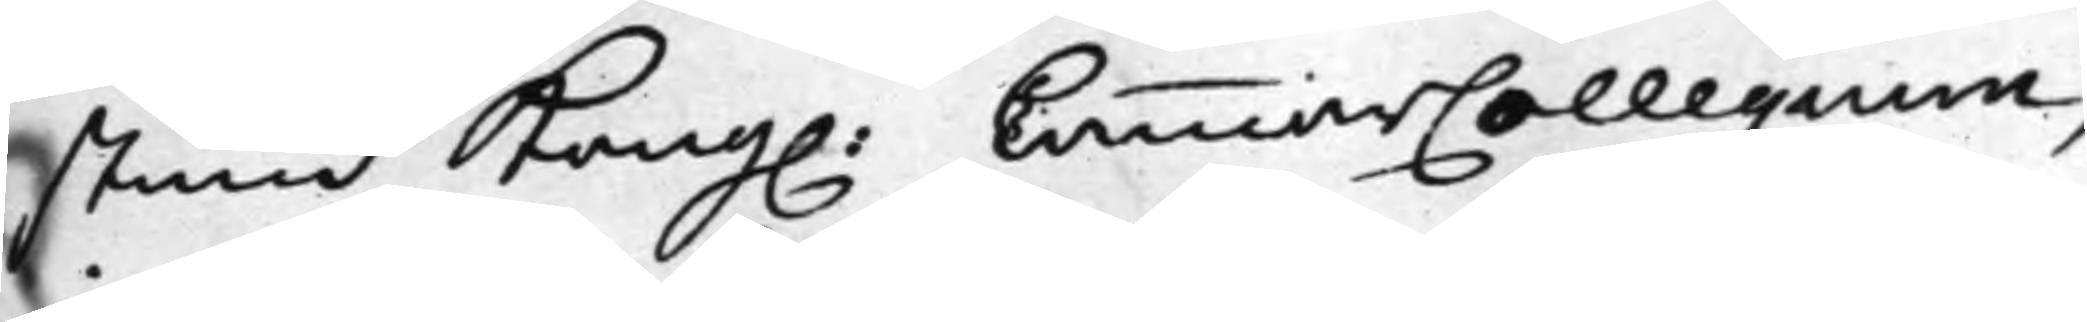stund Kong. CammarCollegium,
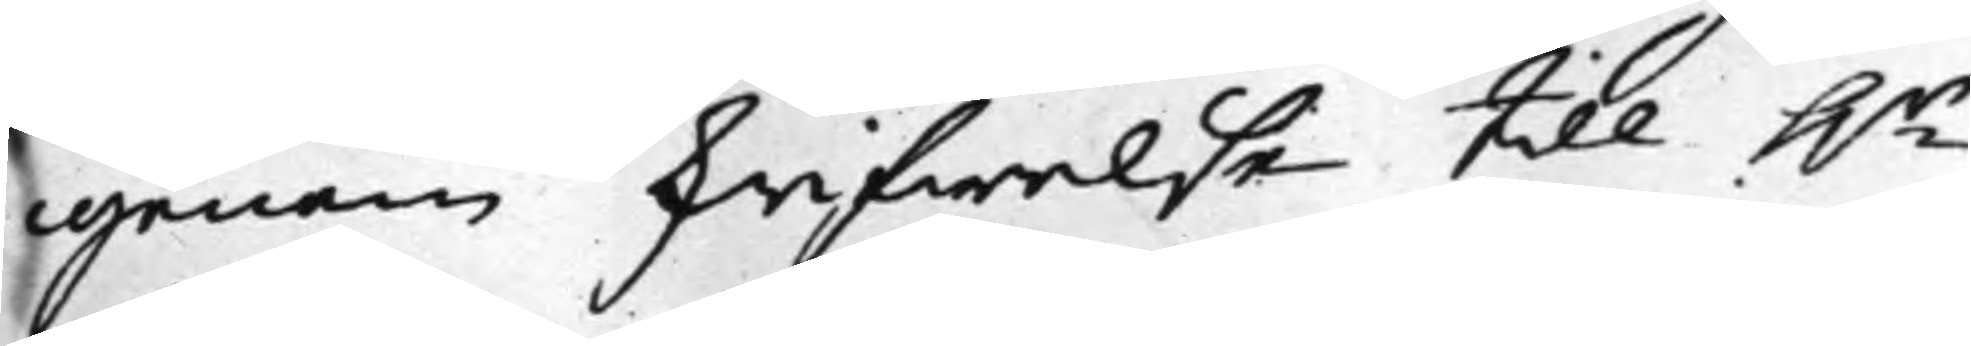igenom skrifwelse till h.r
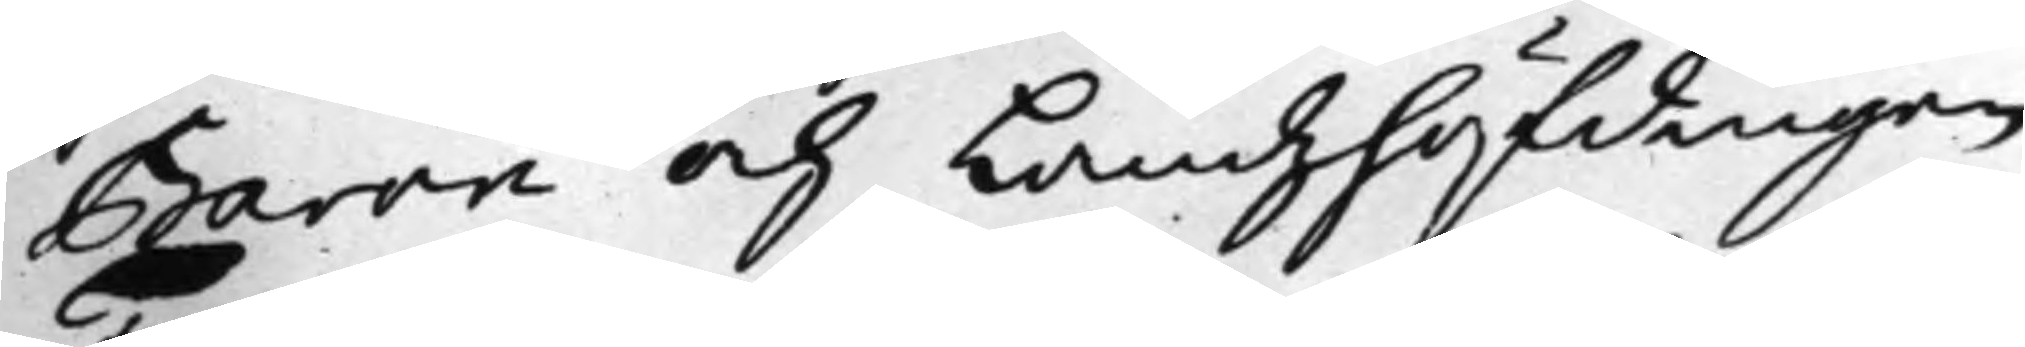Baron och Landzhöfdingen
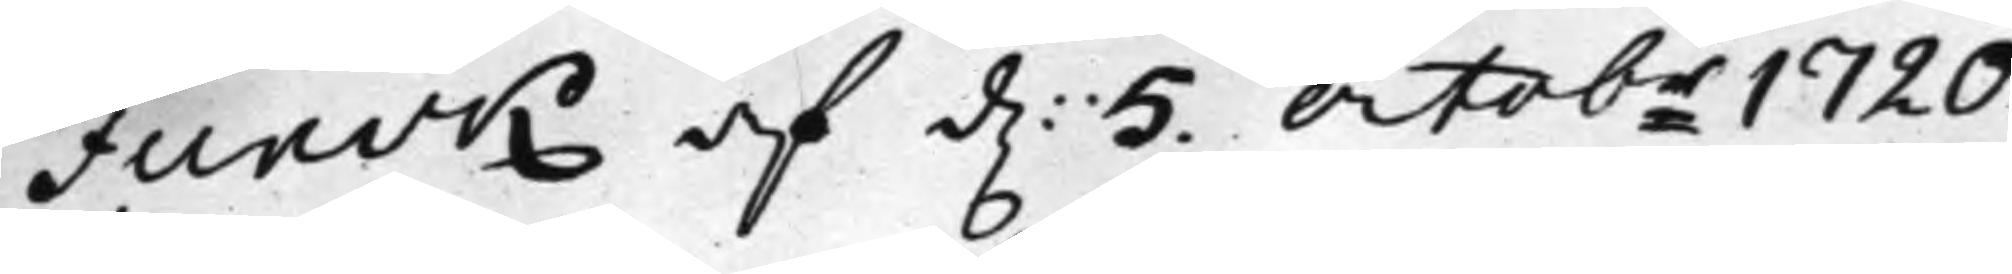Funck af d. 5 Octobr 1720
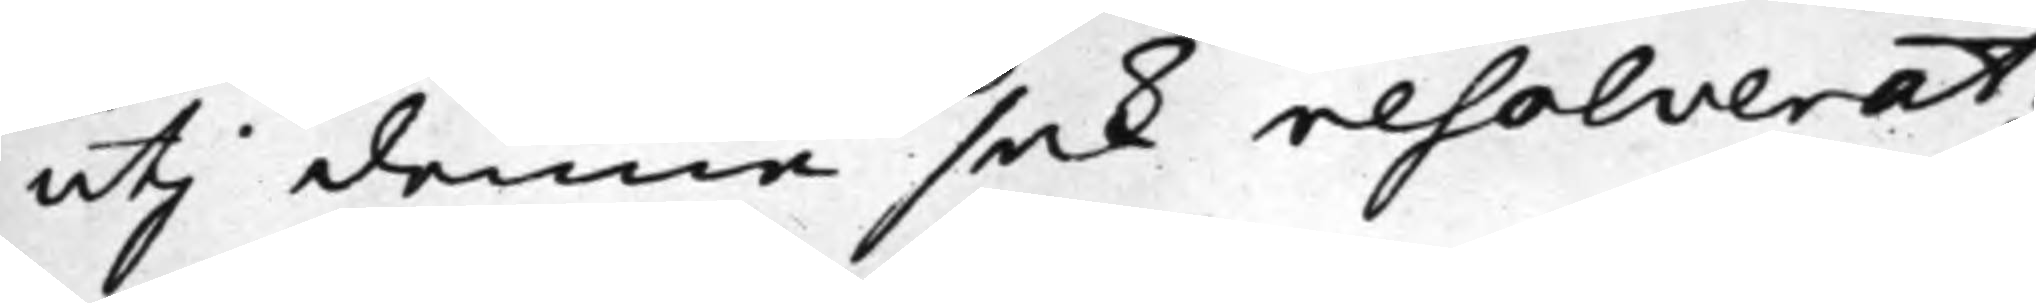uti denna sak resolverat;
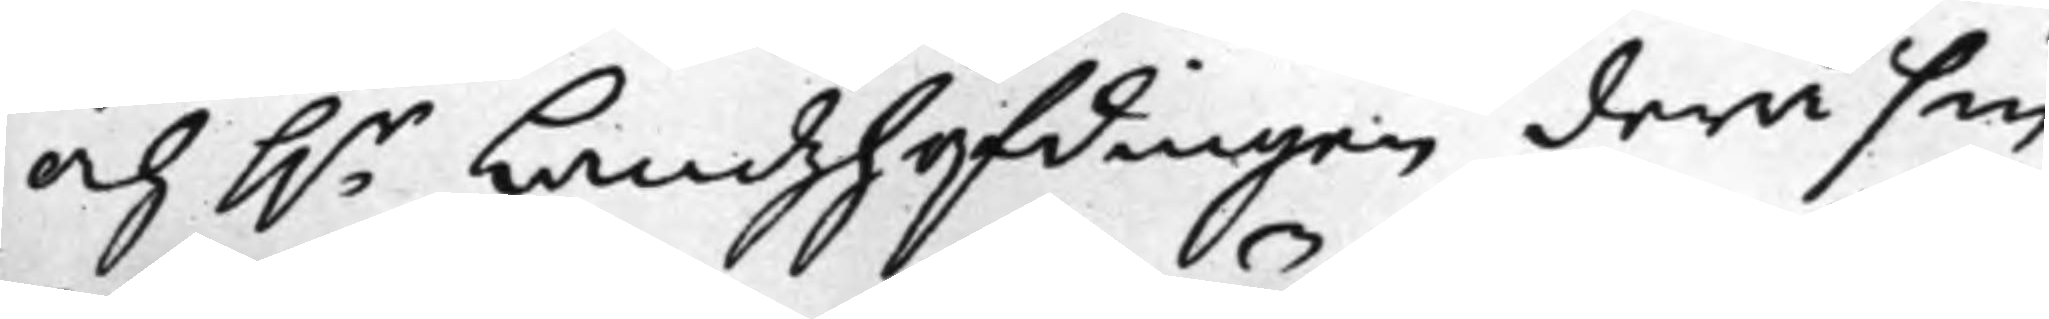och h.r Landzhöfdingen derå sin
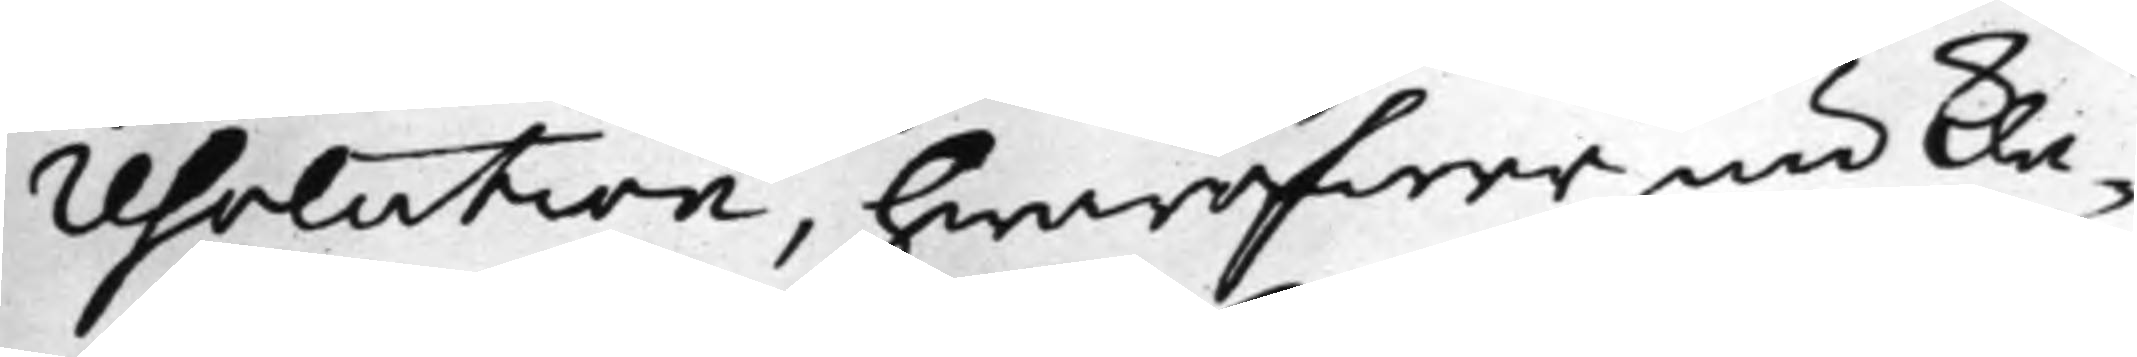resolution, hwaröfwer nu kla¬
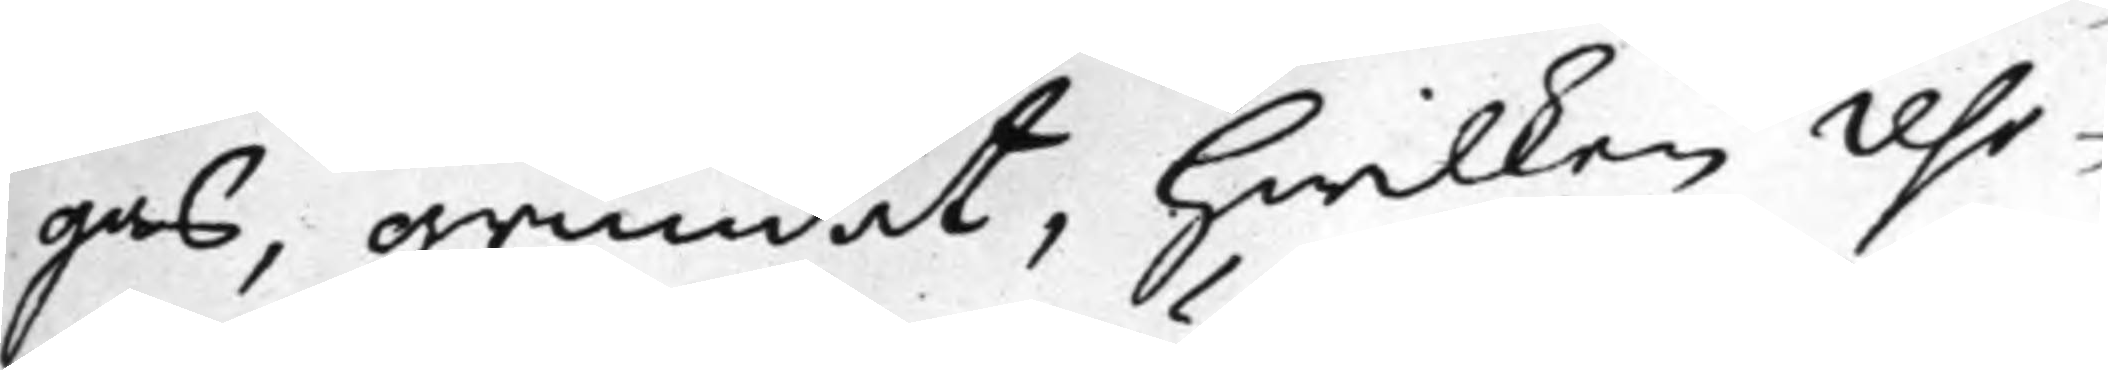gas, grundat, hwilken reso¬
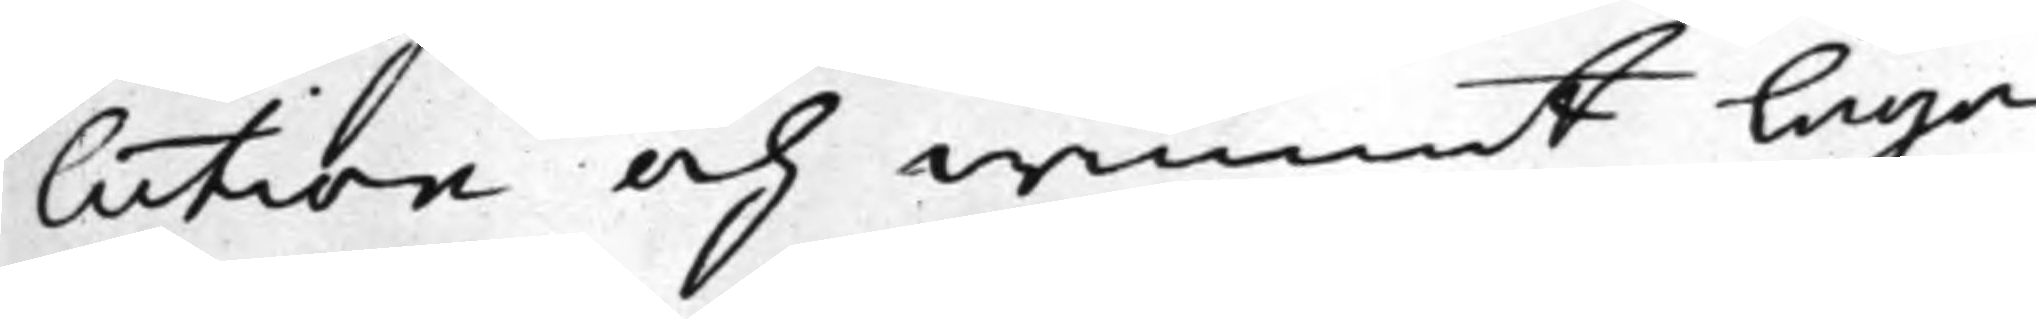lution och wunnit laga
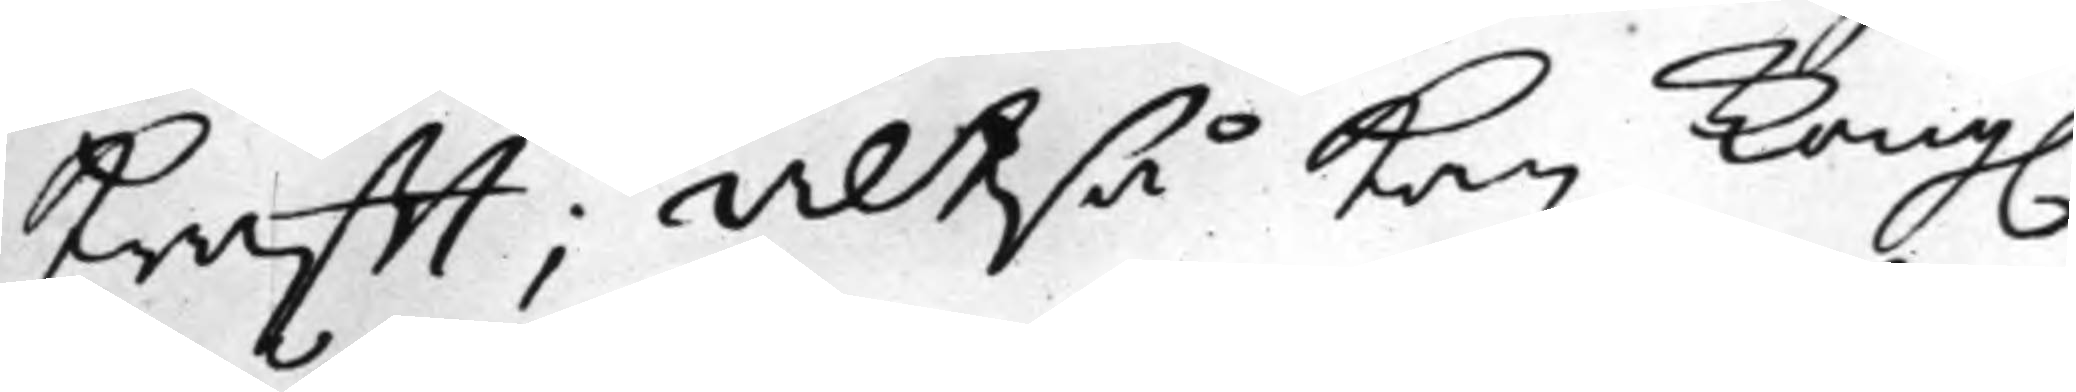krafft; Altså kan Kong.
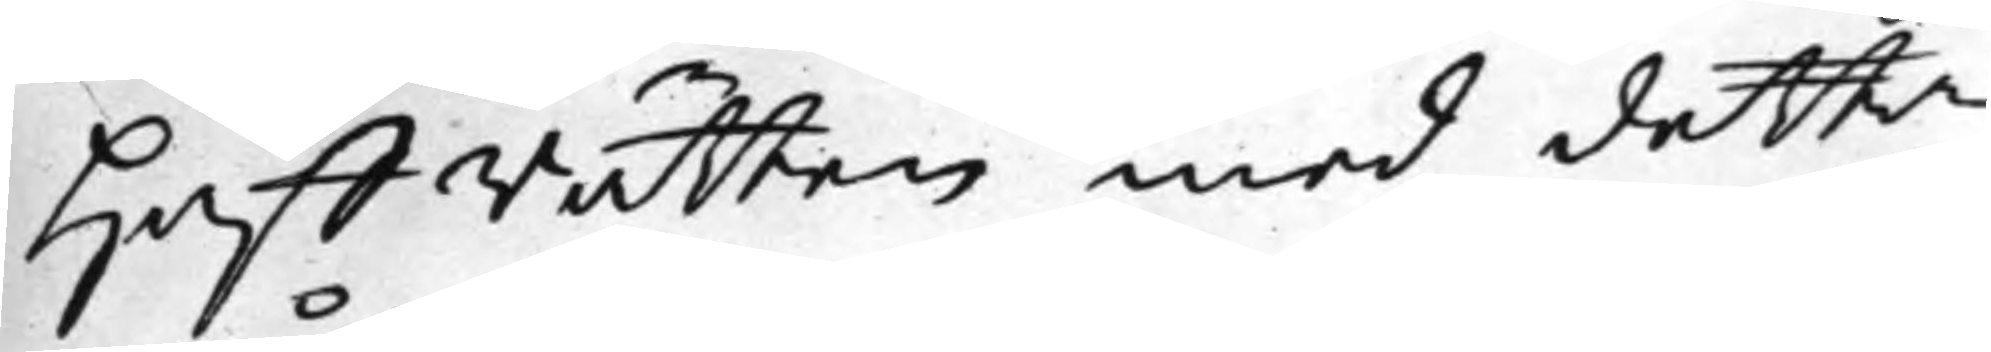Håffrätten med detta
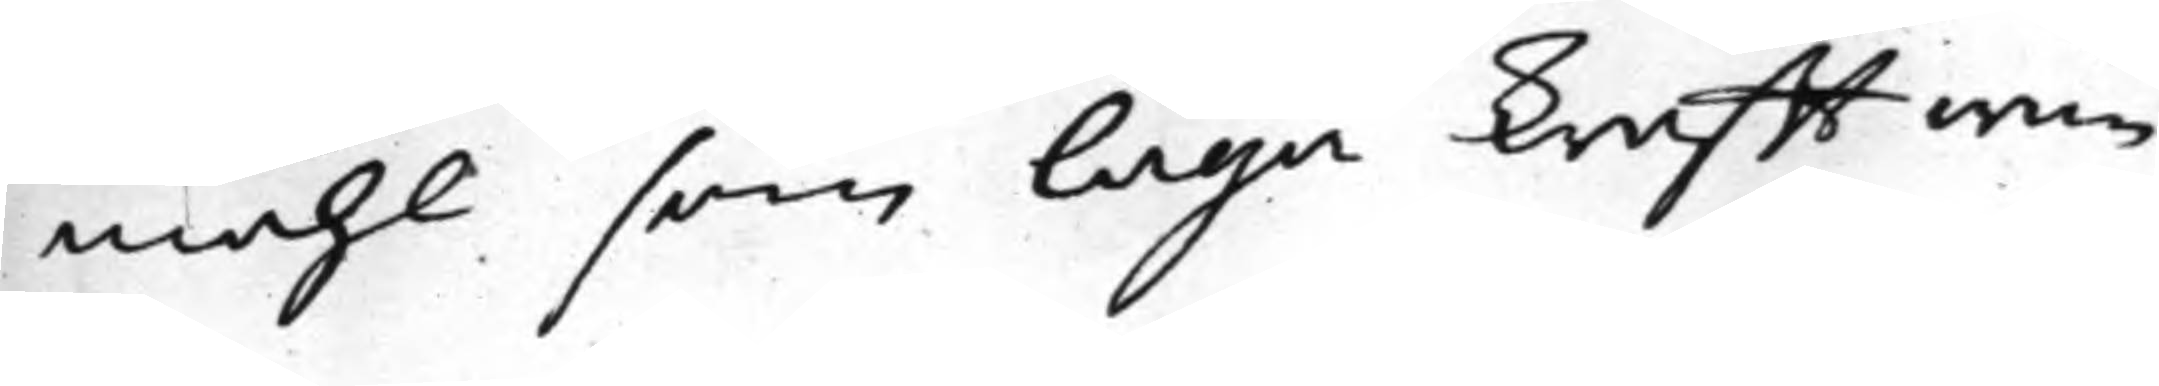måhl, som laga krafft wun¬
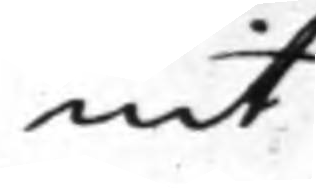nit
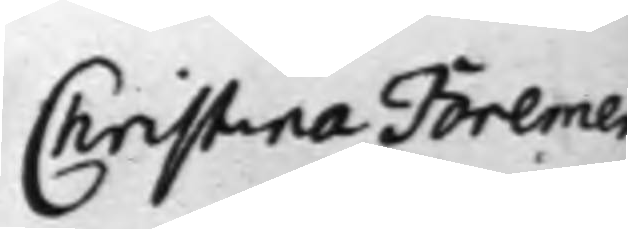Christina Bremer
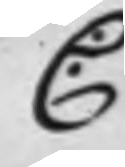C:
